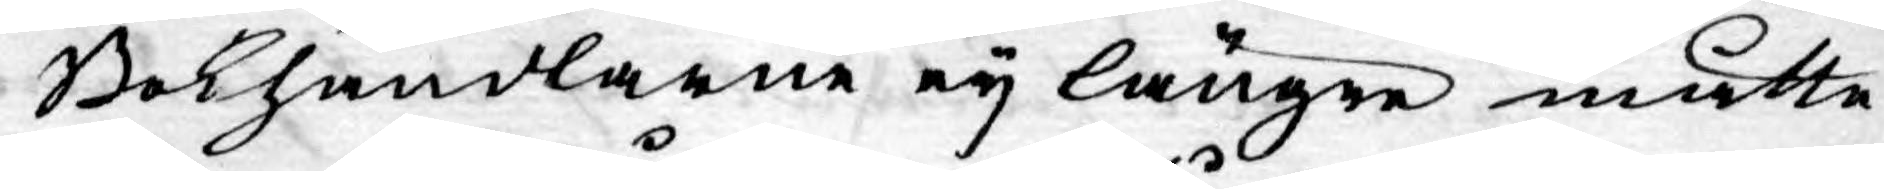Bokhandlarne ey längre måtte
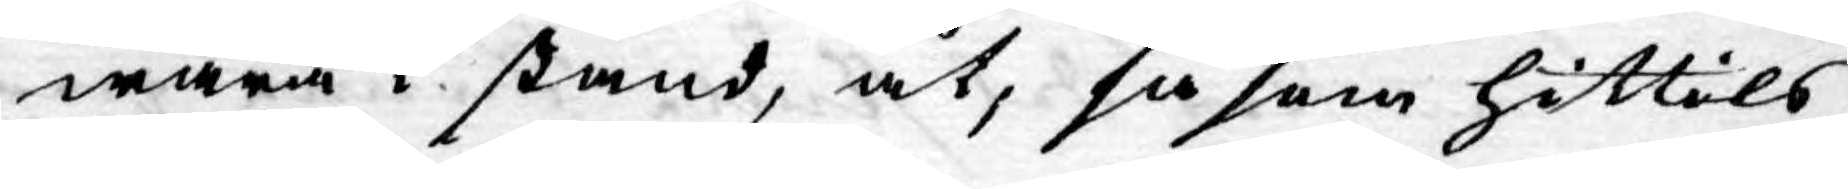wara i stånd, at, så som hittils
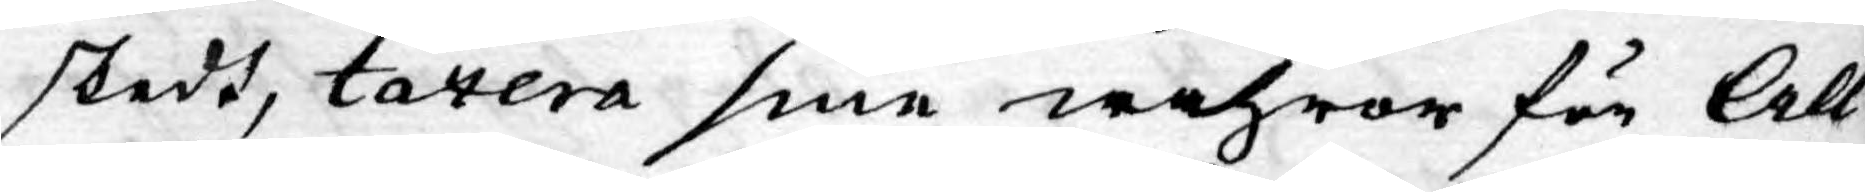skedt, taxera sine wahror för All¬
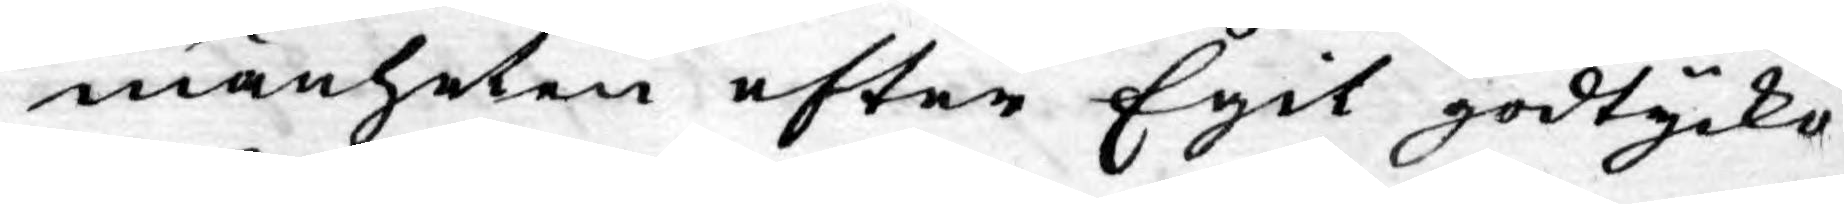mänheten efter Egit godtycke
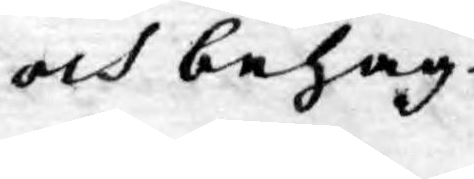och behag.
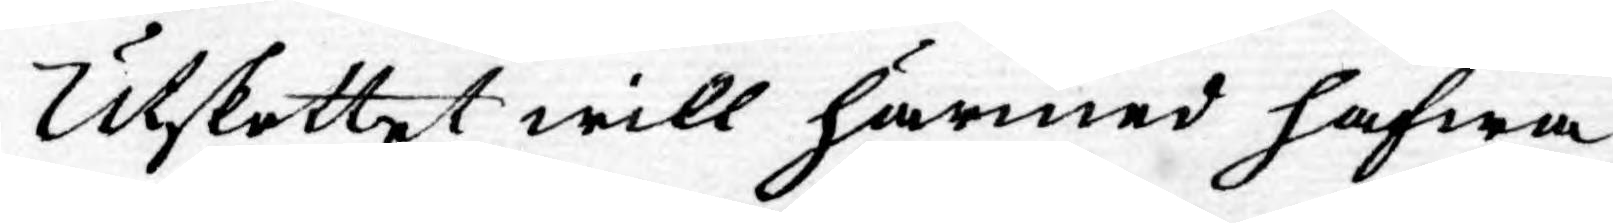Utskottet will härmed hafwa
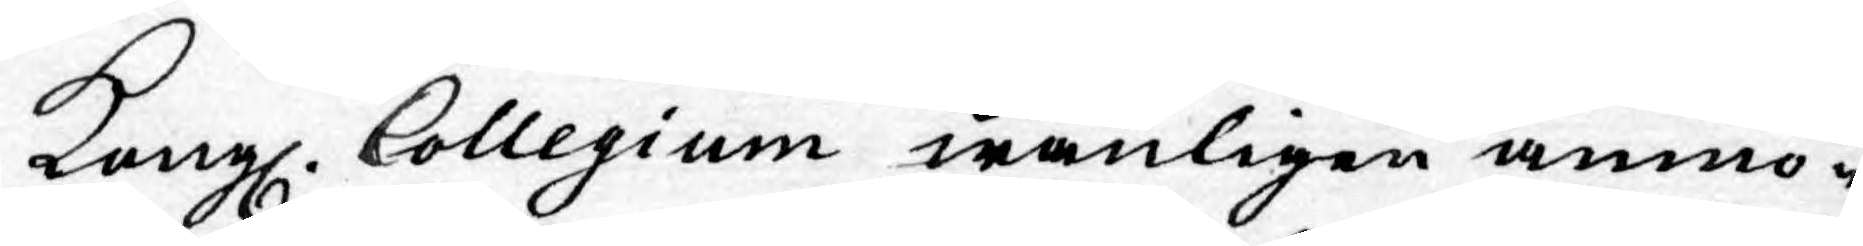Kongl. Collegium wänligen anmo¬
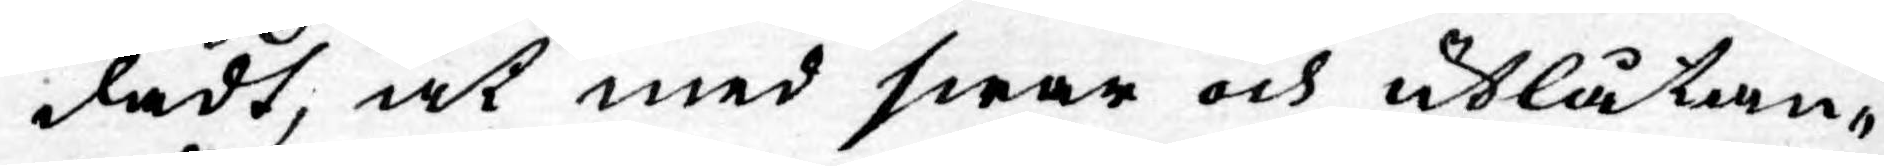dadt, at med swar och utlåtan¬
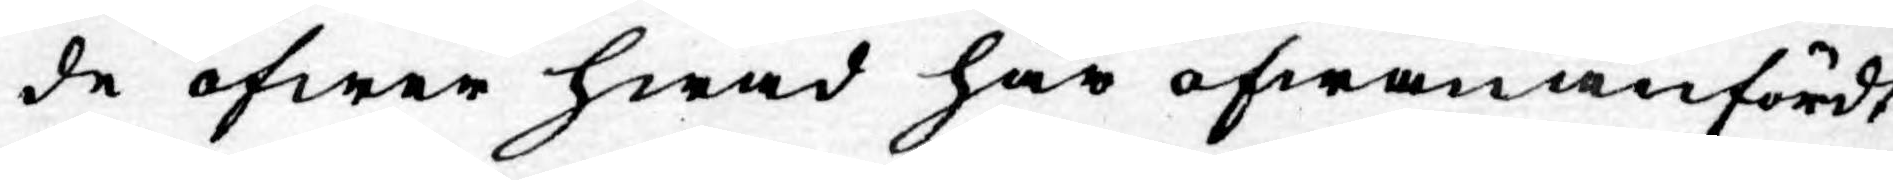de öfwer hwad här ofwan anfördt
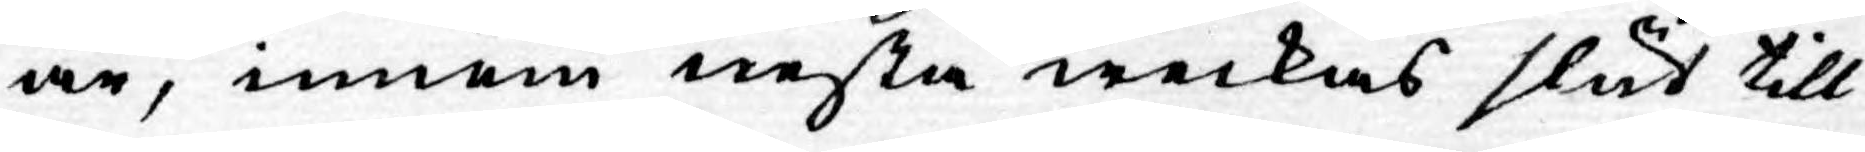är, innom nesta weckas slut till
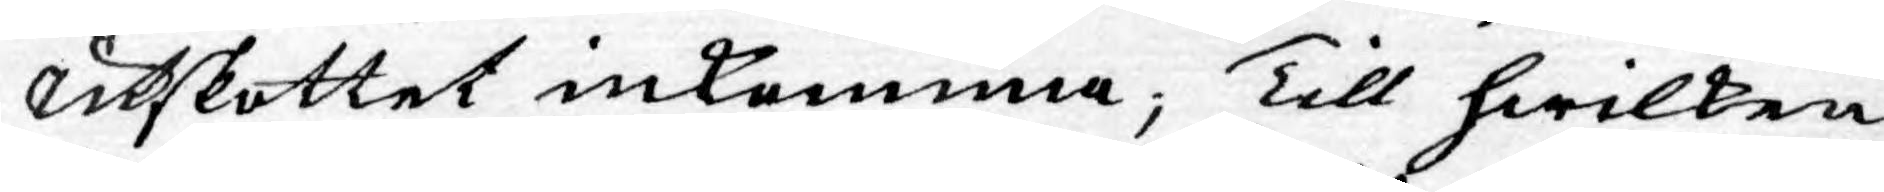Utskottet inkomma; Till hwilken
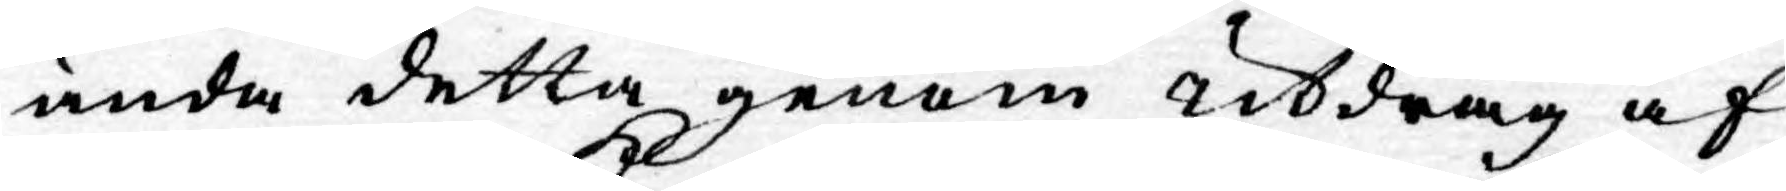ända detta genom utdrag af
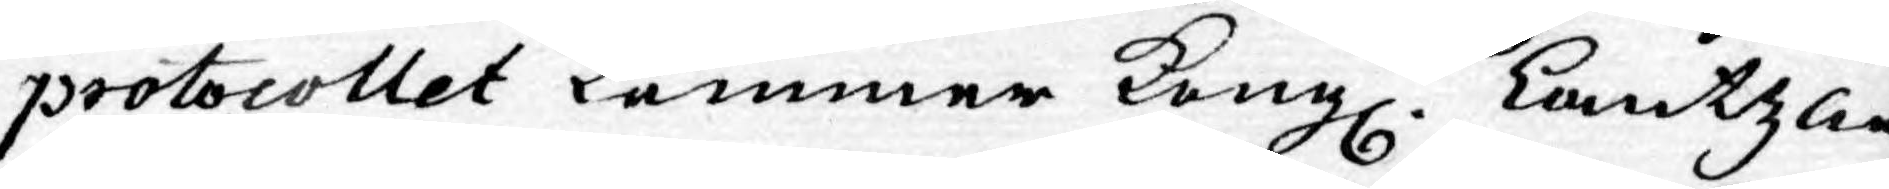protocollet kommer Kongl. Cantzlie
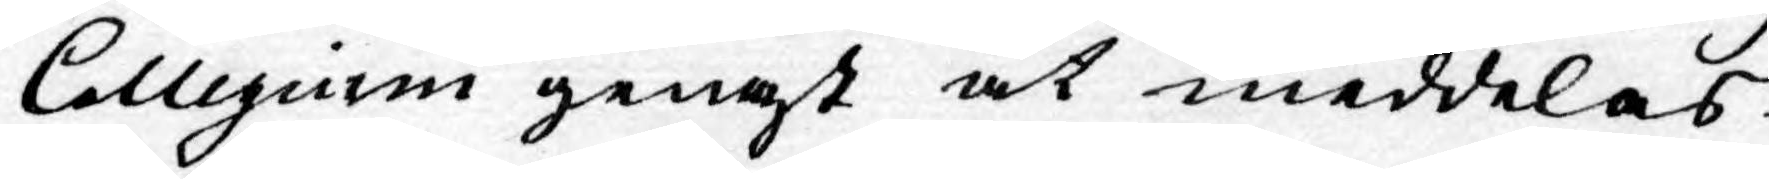Collegium genast at meddelas.
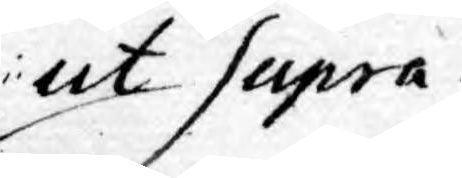ut Supra.
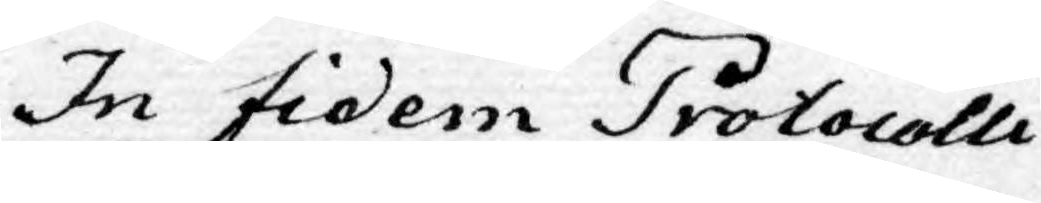In fidem Protocolli
